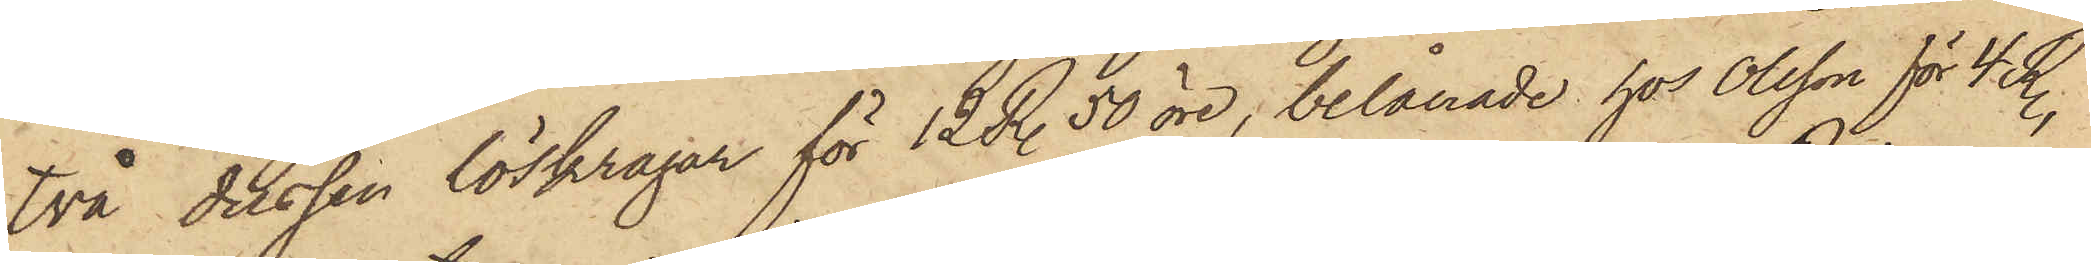två dussin löskragar för 12 R. 50 öre, belånade hos Olsson för 4 R.,
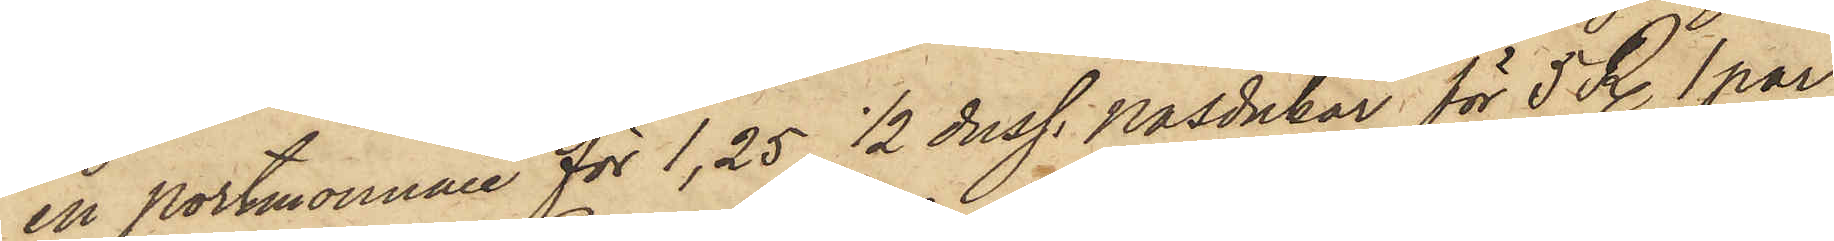en portmonnaie för 1,25, 1/2 duss. näsdukar för 5 R. 1 par
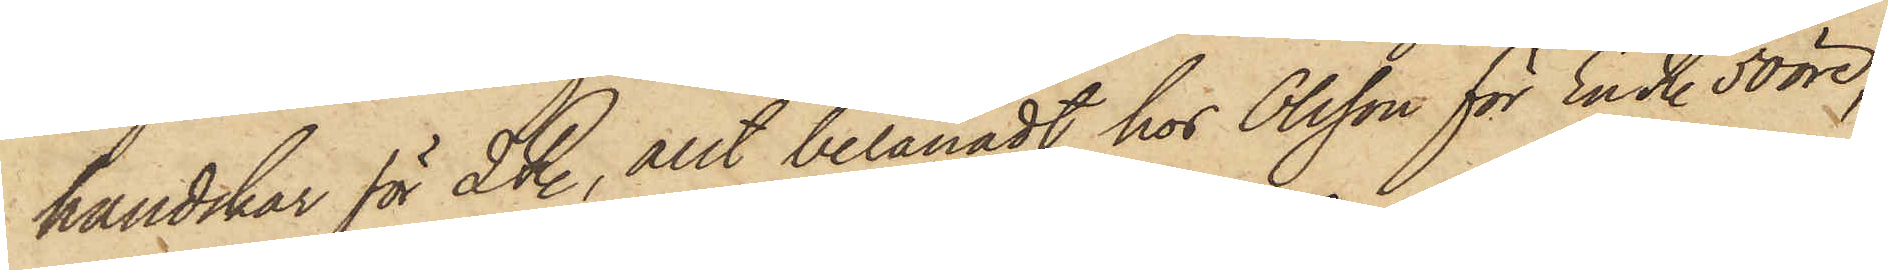handskar för 2 R., allt belånadt hos Olsson för En R. 50 öre,
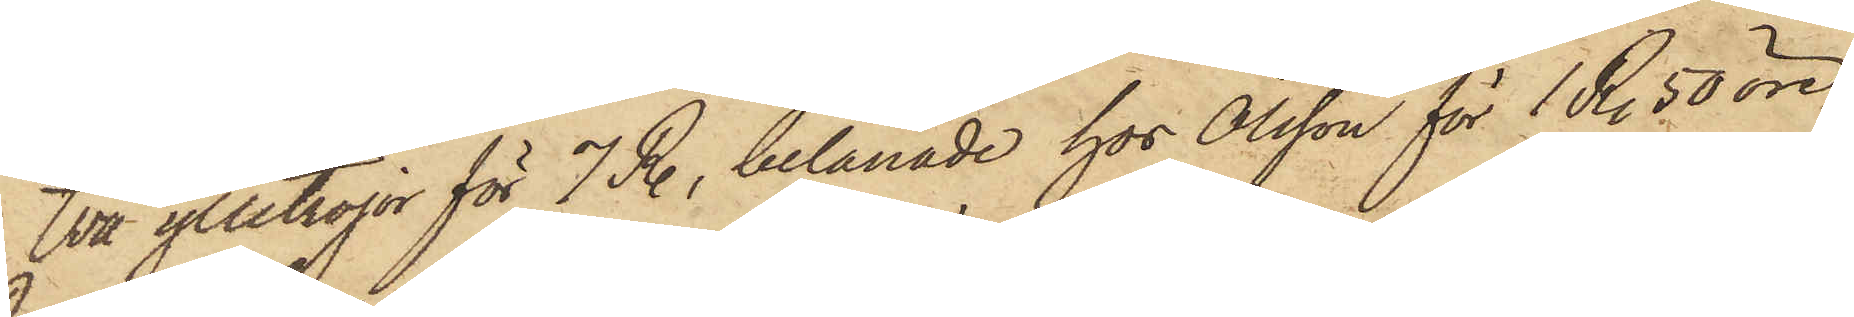två ylletröjor för 7 R., belånade hos Olsson för 1 R. 50 öre
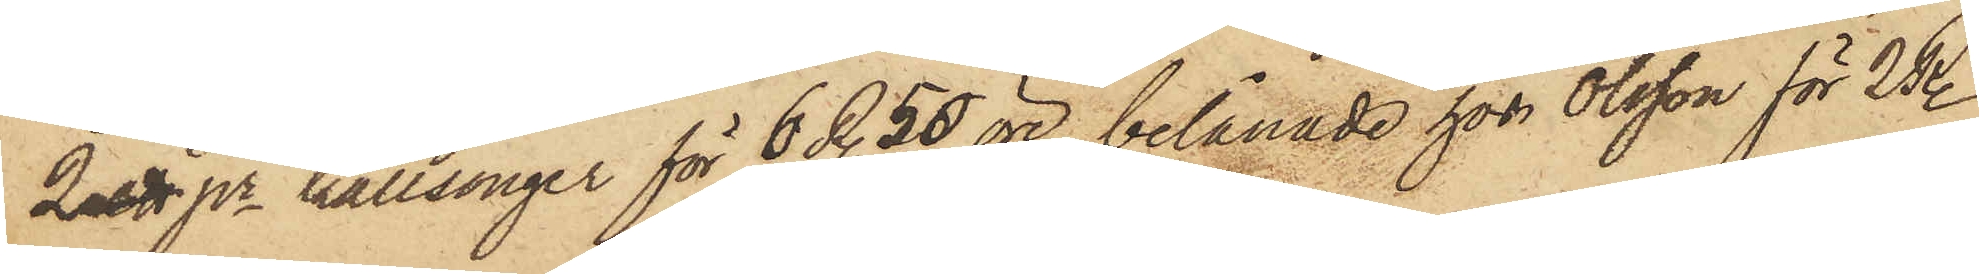2 stt pr kallsonger för 6 R. 50 öre, belånade hos Olsson för 2 R.
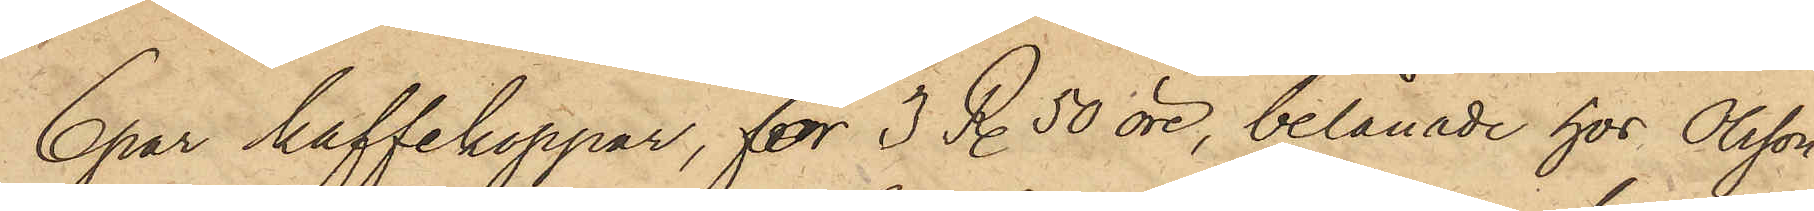6 par kaffekoppar, för 3 R. 50 öre, belånade hos Olsson
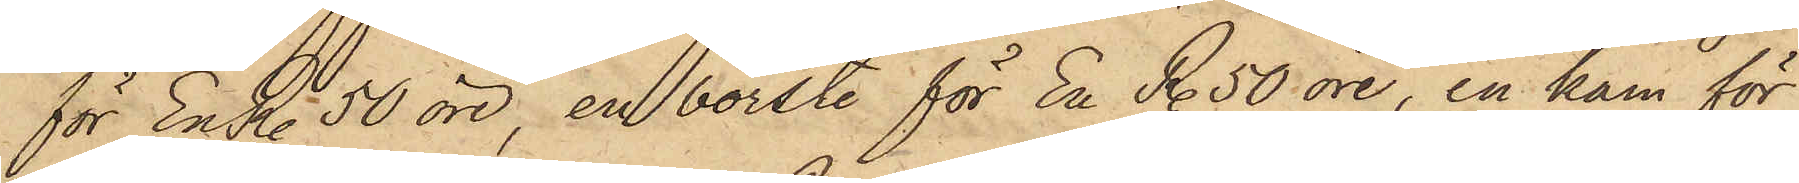för En R. 50 öre, en borste för En R. 50 öre, en kam för
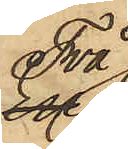Två
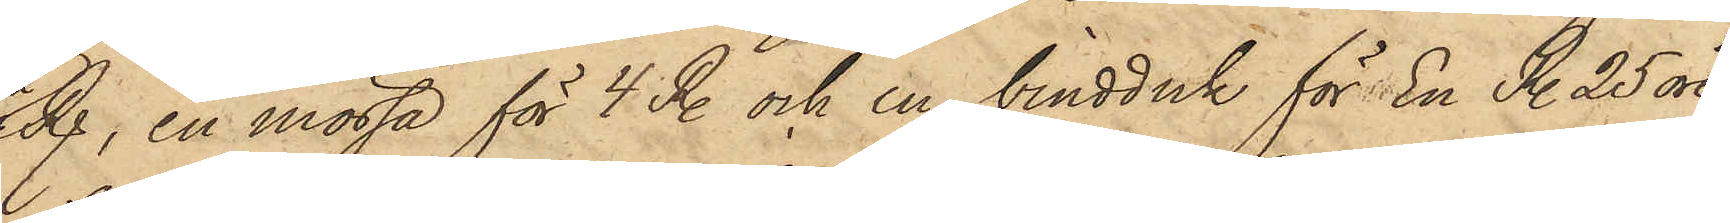R., en mössa för 4 R. och en bindduk för En R. 25 öre,
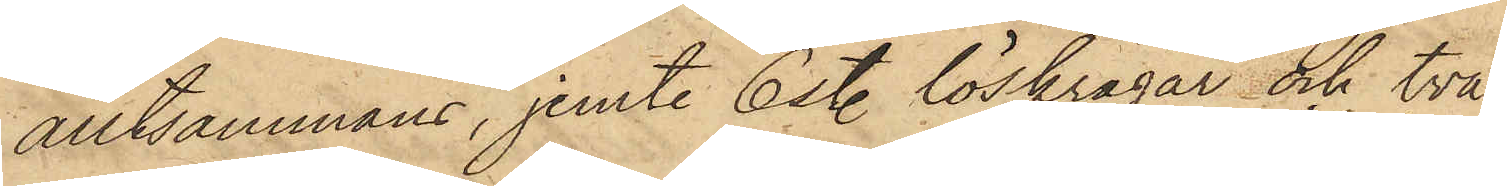alltsammans, jemte 6 st. löskragar och två
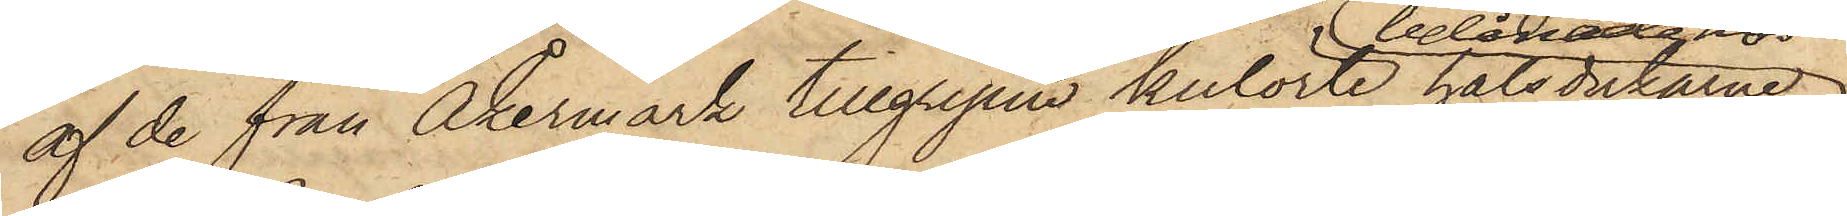af de från Åkermark tillgripne kulörte halsdukarne
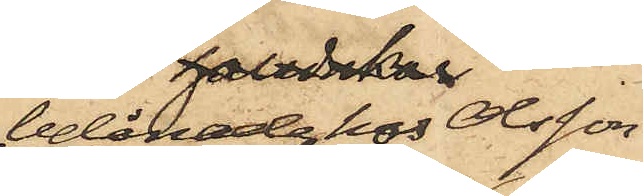belånade hos Olsson
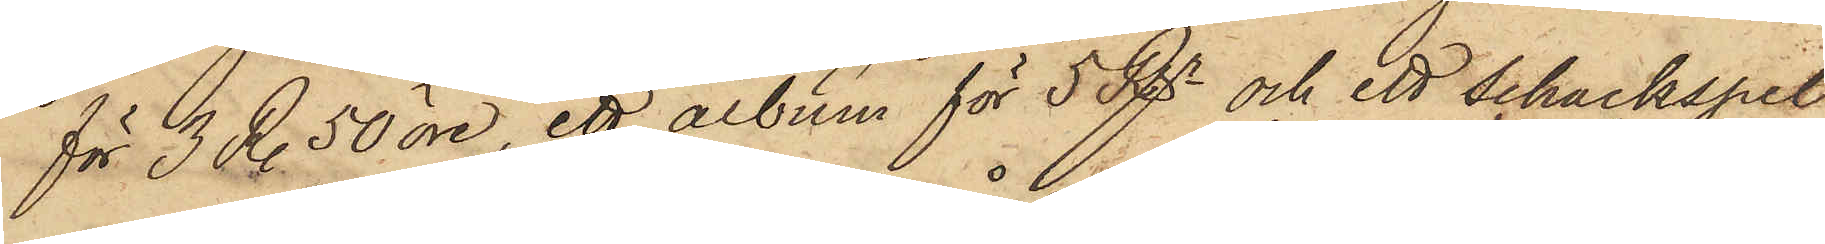för 3 R. 50 öre, ett album för 5 Rgr och ett Schackspel
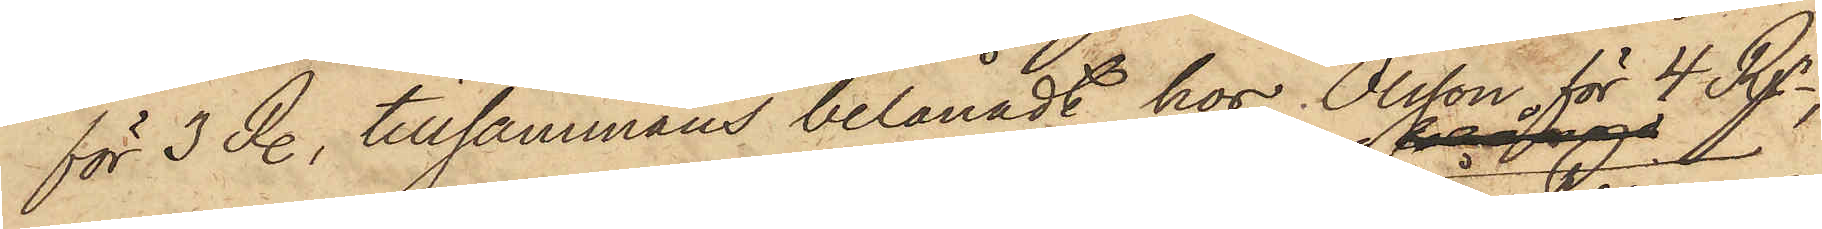för 3 R., tillsammans belånadt hos Olsson för 4 Rgr,
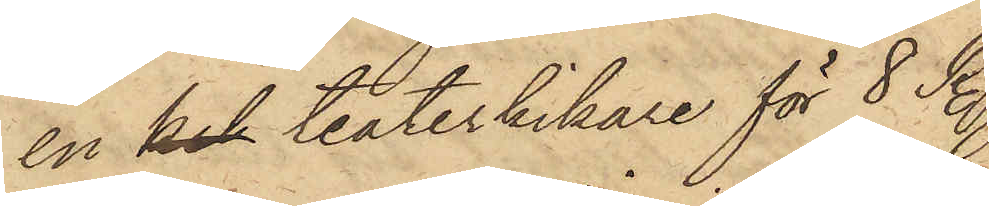en kil teaterkikare för 8 R.,
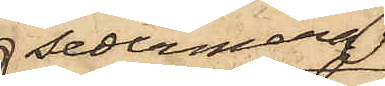sedermera
